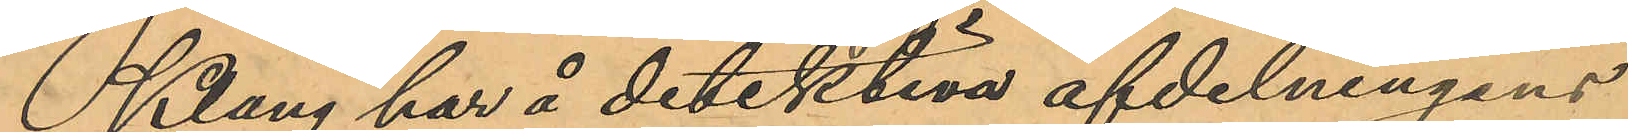Klang har å detektiva afdelningens
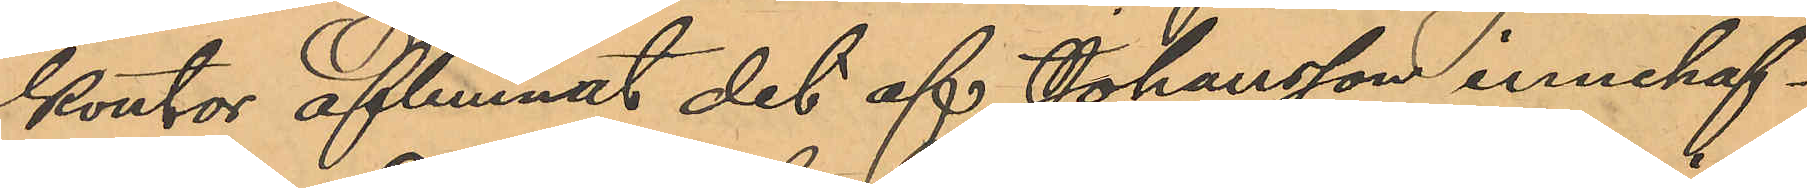kontor aflemnat det af Johansson innehaf¬
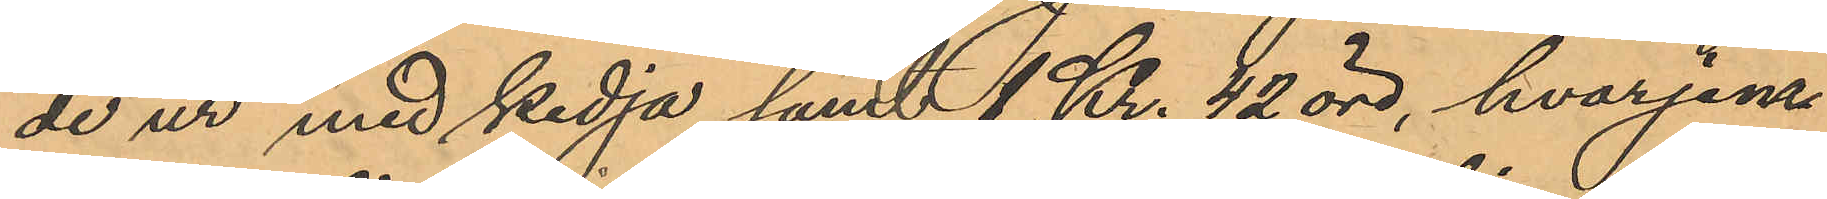de ur med kedja samt 1 Kr. 42 öre, hvarjem¬
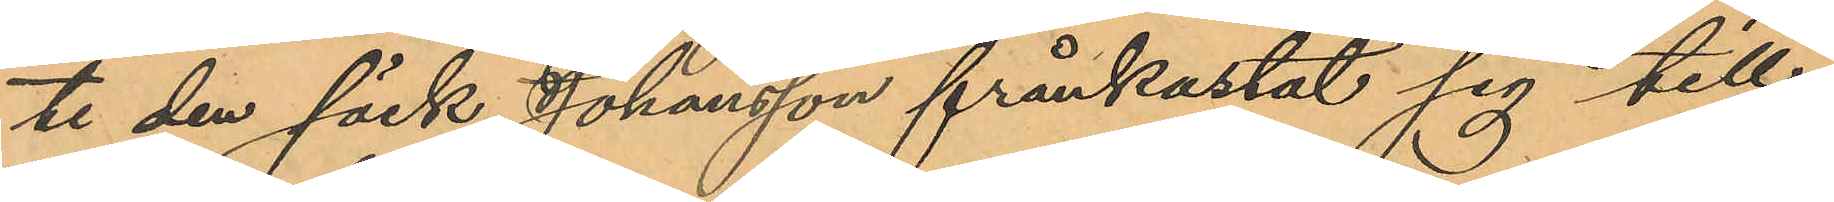te den säck Johansson frånkastat sig till¬
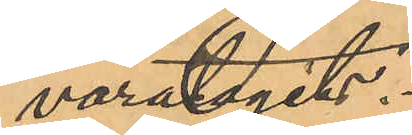varatagits.
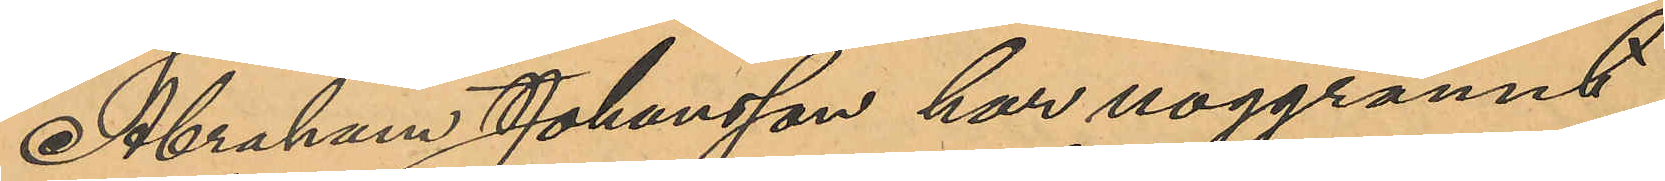Abraham Johansson har noggrannt
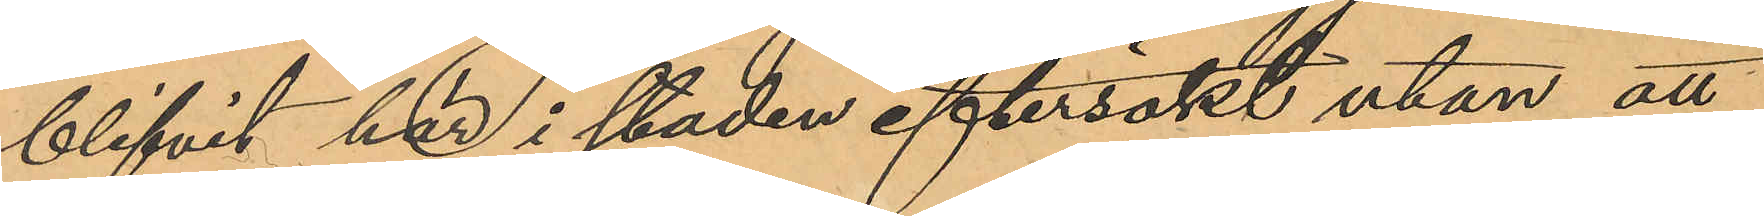blifvit här i staden eftersökt utan att
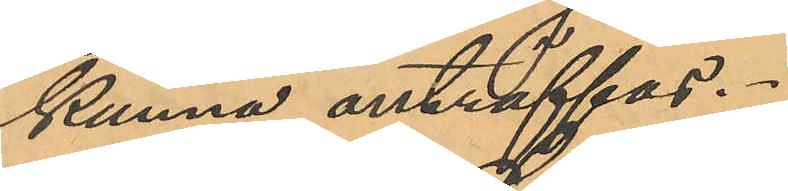kunna anträffas.
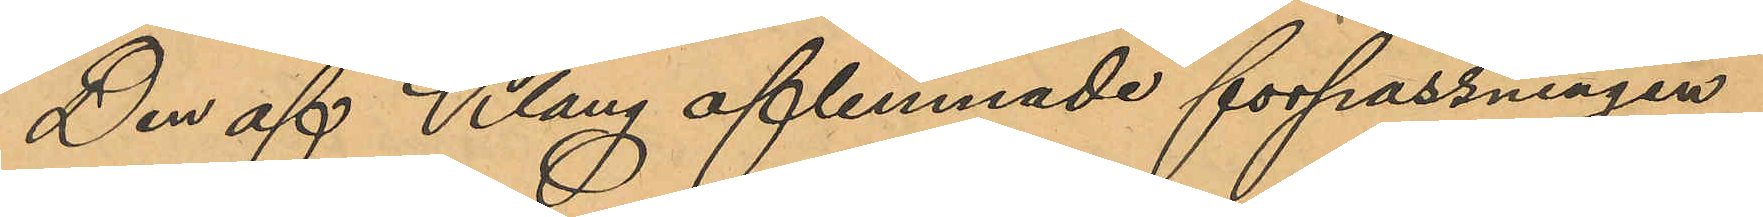Den af Klang aflemnade förpassningen
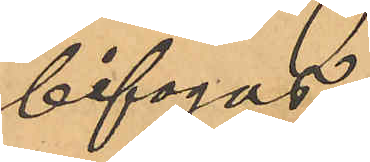bifogas.
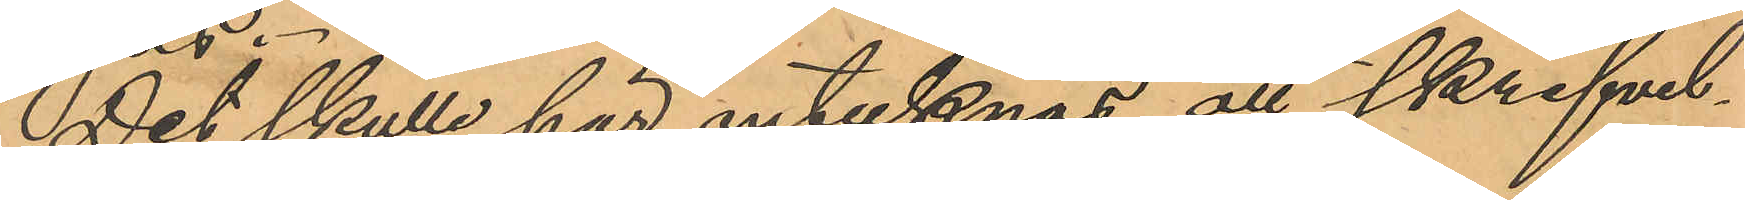Det skulle här antecknas att skrifvel¬
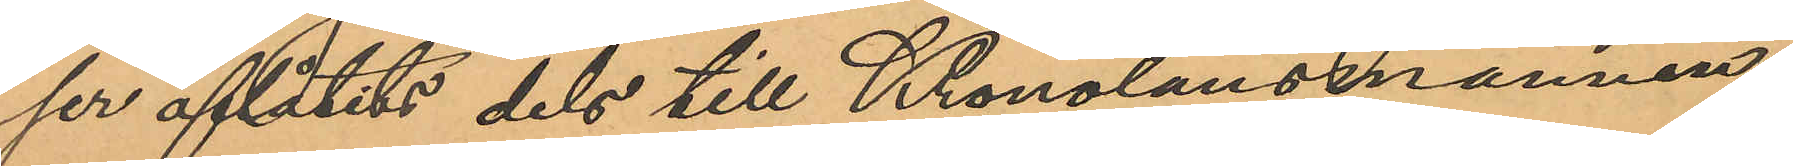ser aflåtits dels till Kronolänsmannen
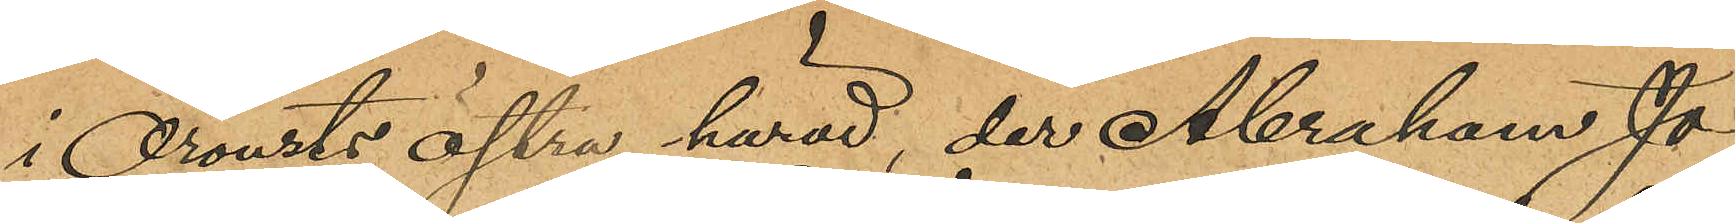i Orousts Östra härad, der Abraham Jo¬
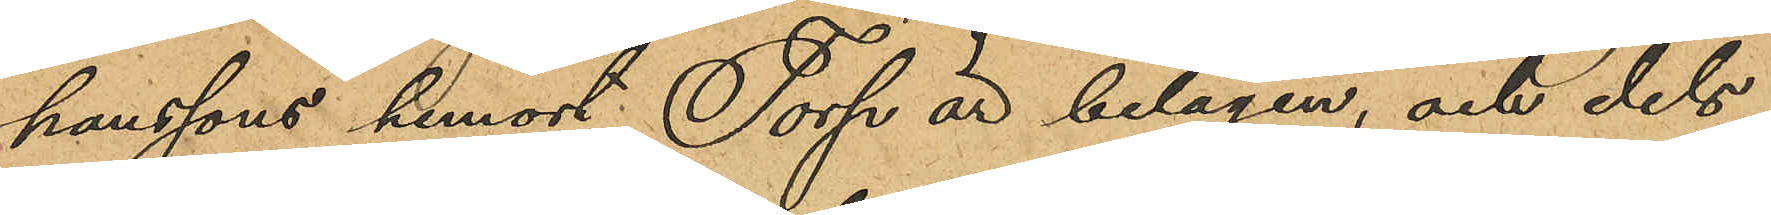hanssons hemort Torp är belägen, och dels
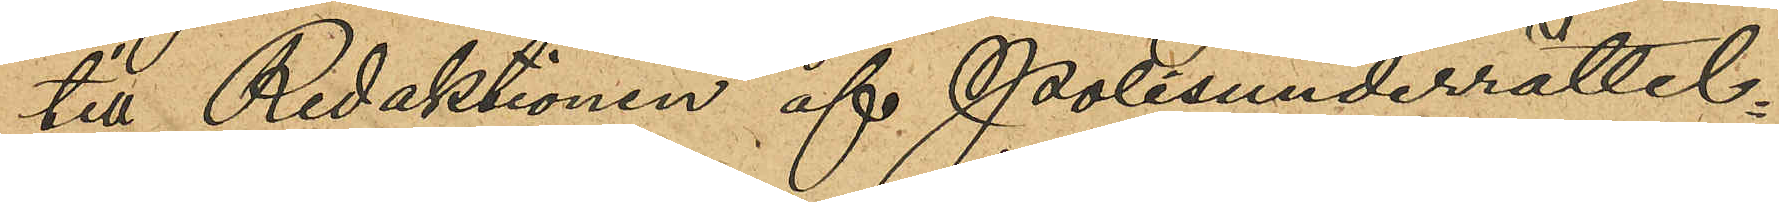till Redaktionen af Polisunderrättel¬
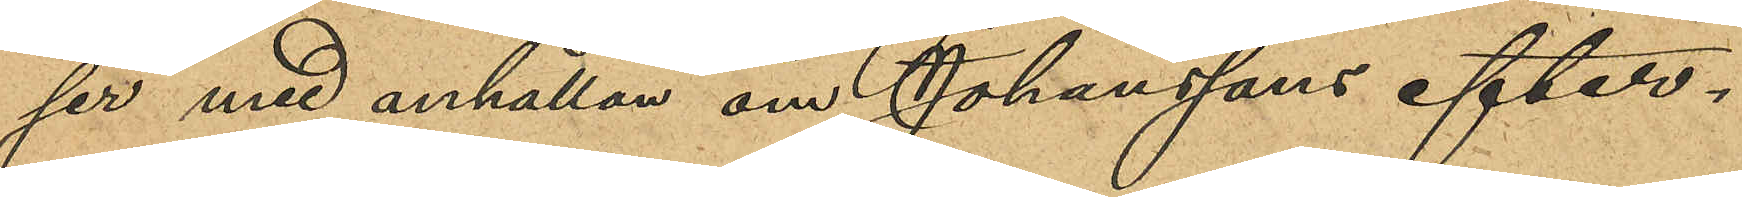ser med anhållan om Johanssons efter¬
